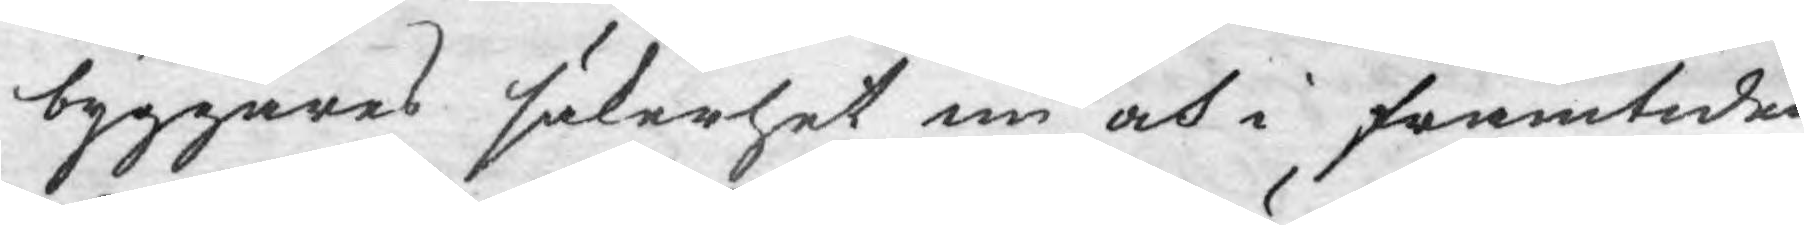byggares säkerhet nu och i framtiden
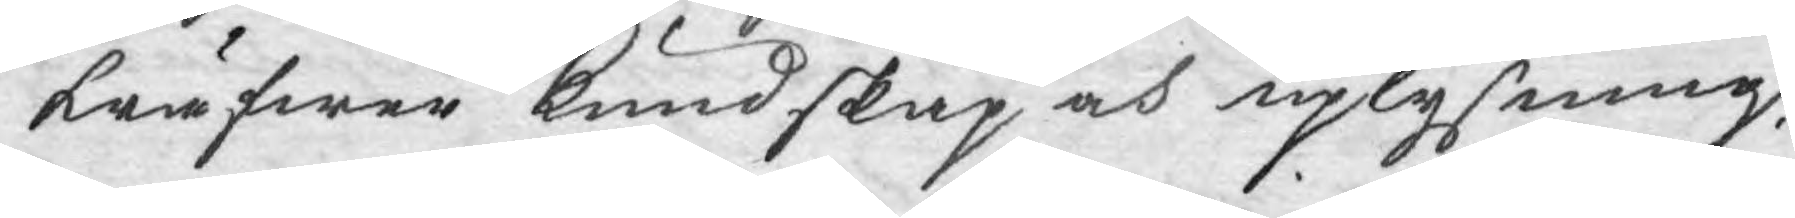kräfwer Kundskap och uplysning.
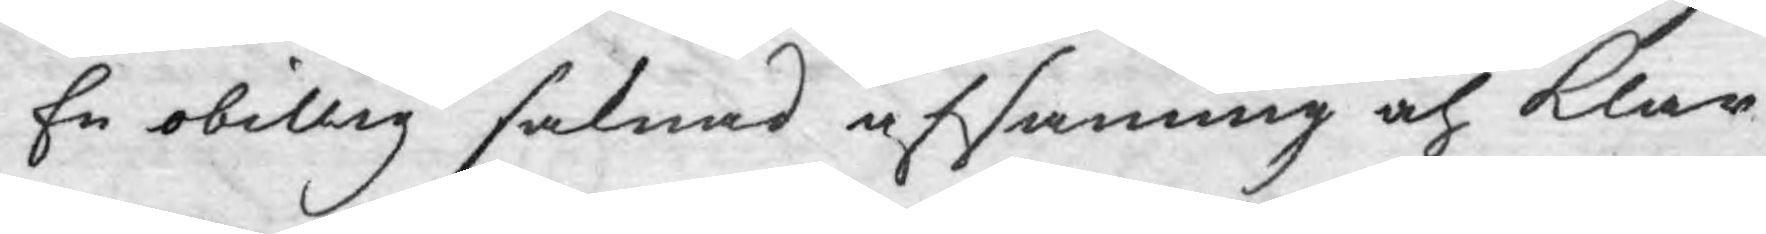En obillig saknad af sanning och klar
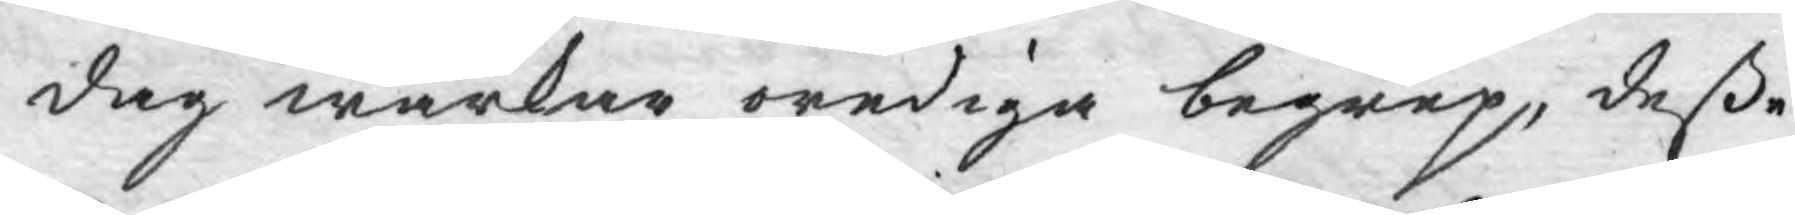dag wärkar orediga begrep, deße
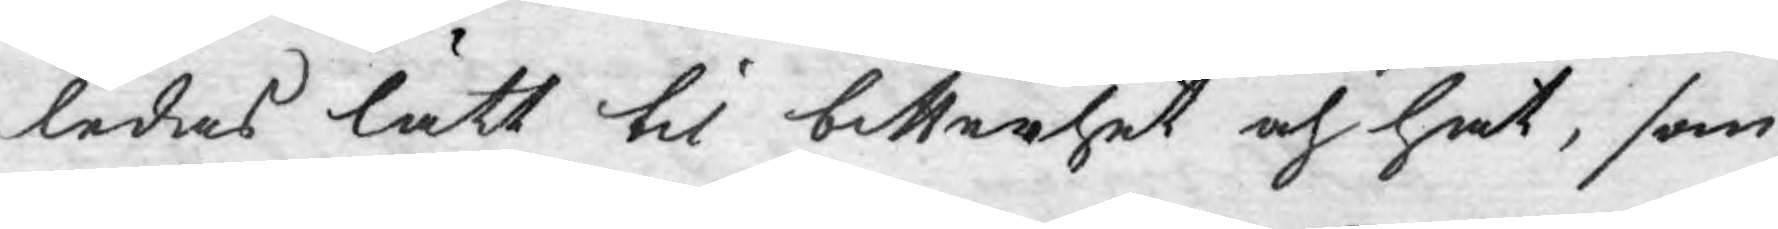ledas lätt til bitterhet och hat, som
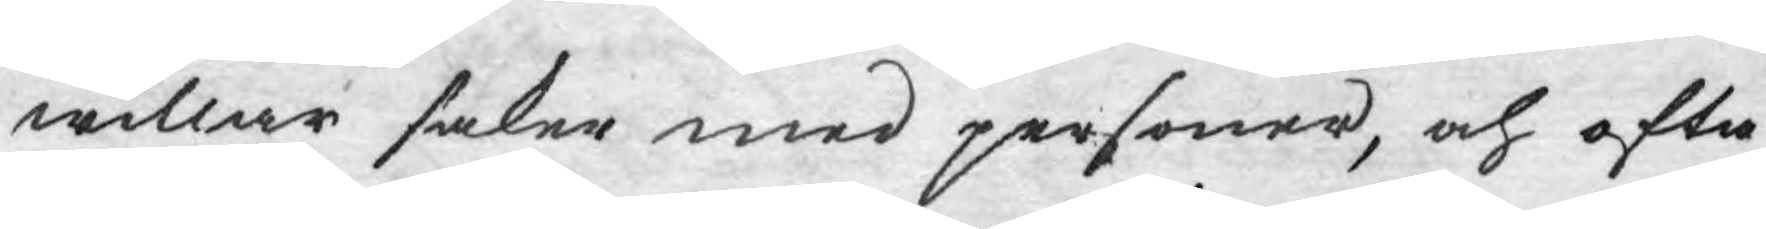willar saker med personer, och ofta
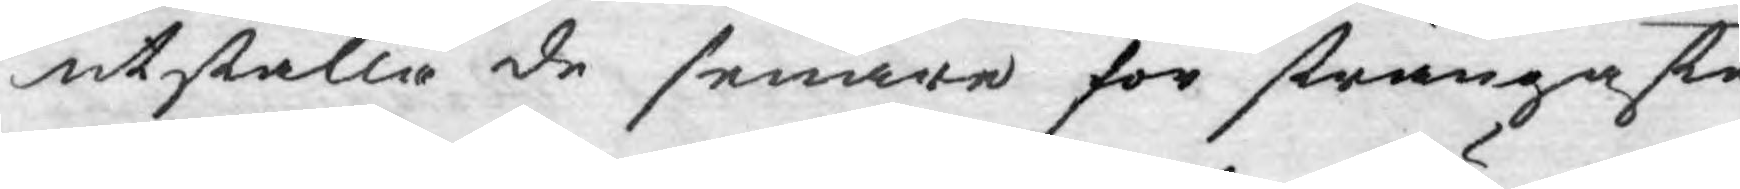utställa de senare för strängaste
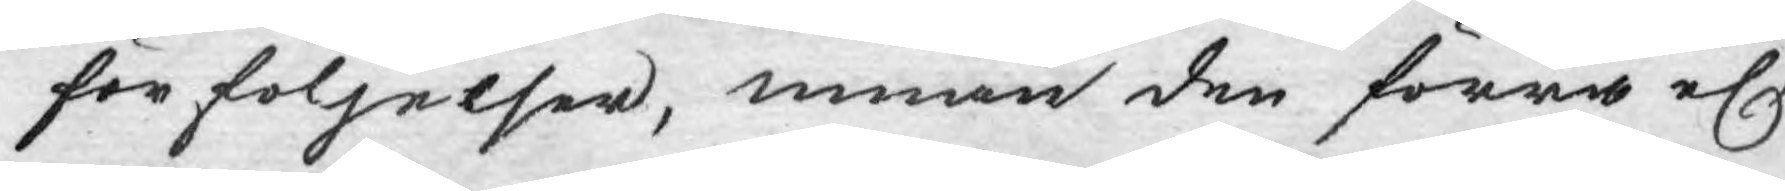förföljelser, innan den förra elr
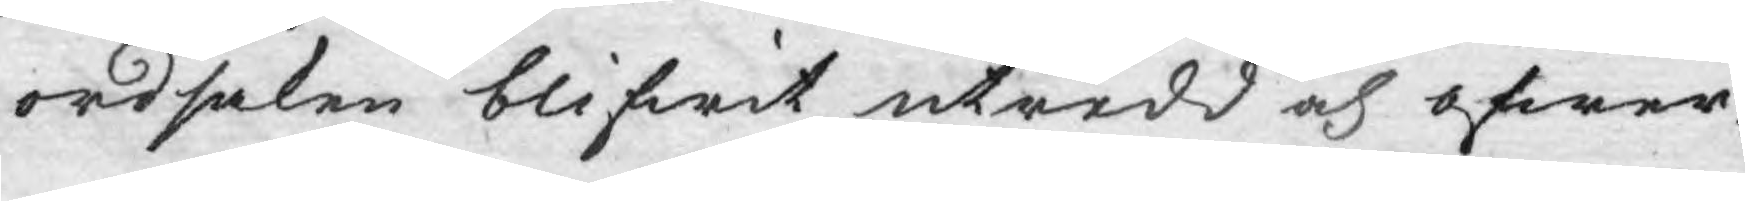ordsaken blifwit utredd och öfwer¬
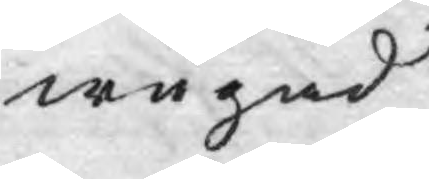wägad.
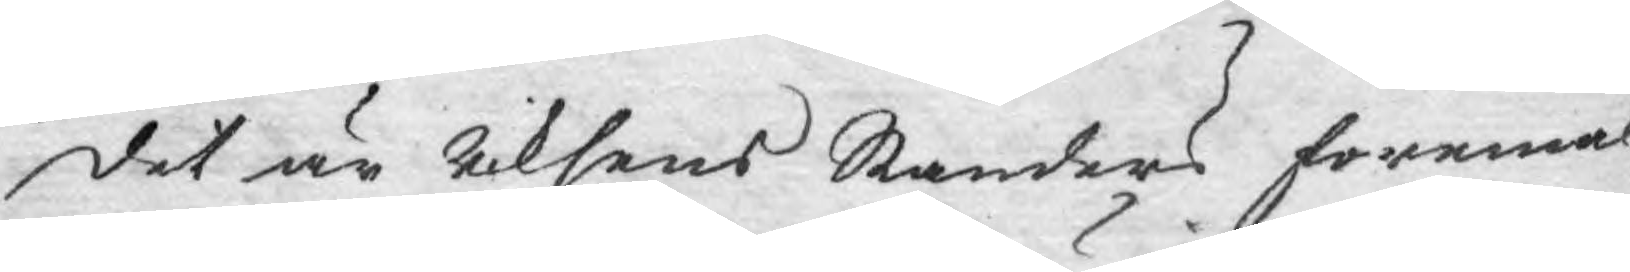det är Riksens Ständers föremål
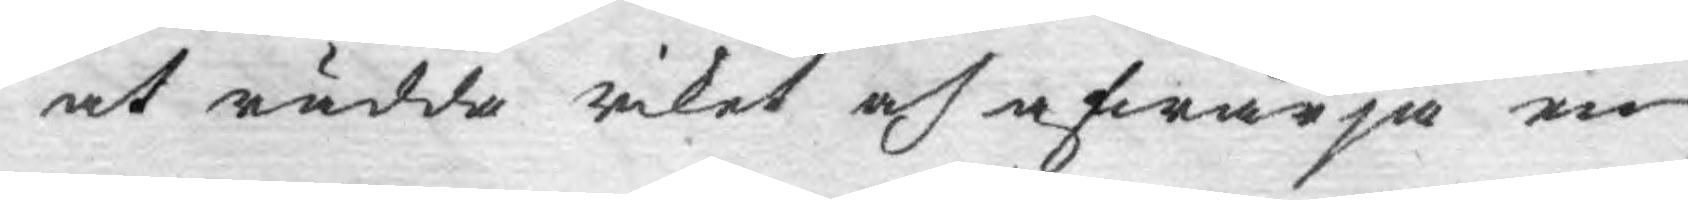at rädda Riket och afwärja en
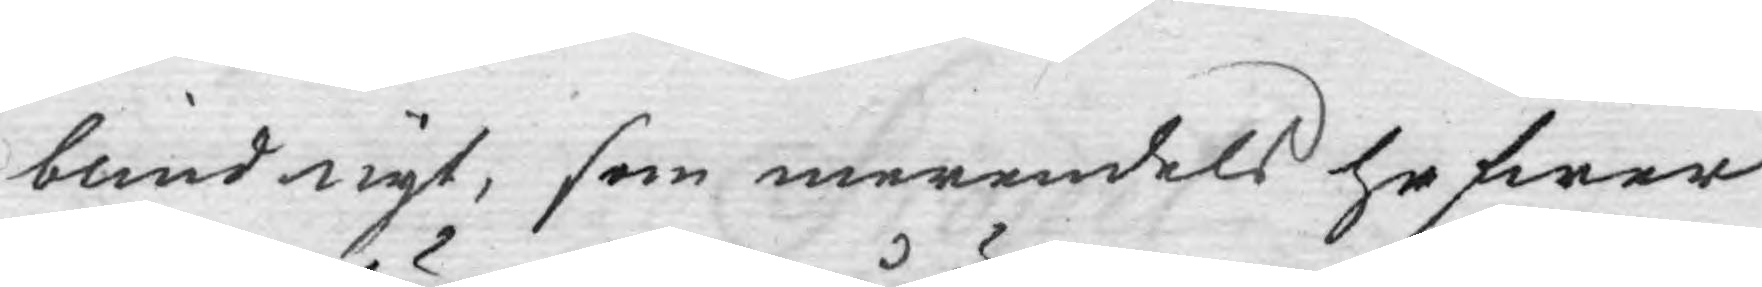blind myt, som merendels hafwer
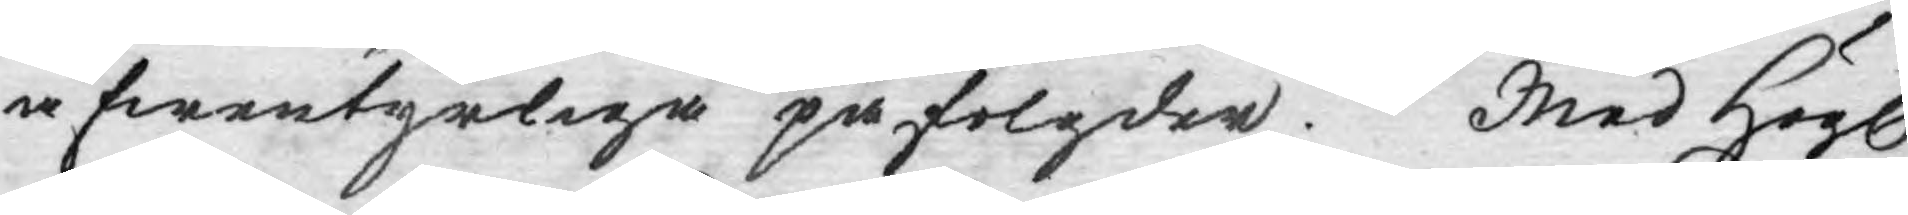äfwentyrliga påfölgder. Med Högl.
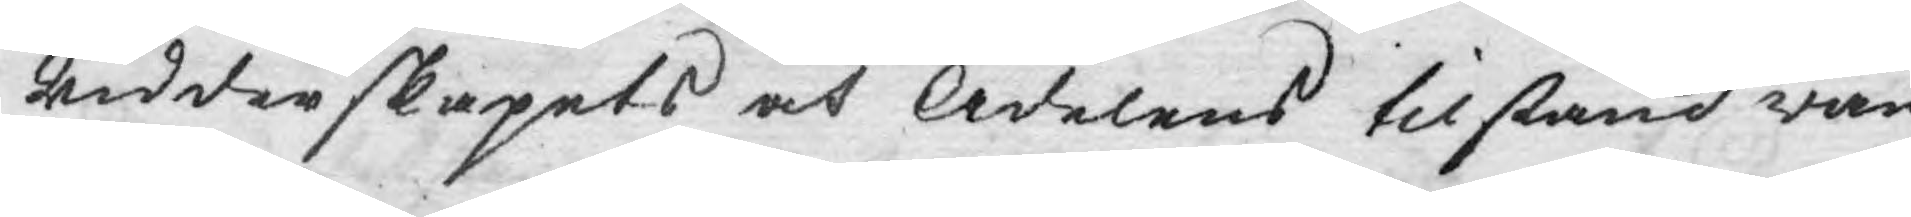Ridderskapets och Adelens tilstånd wän¬
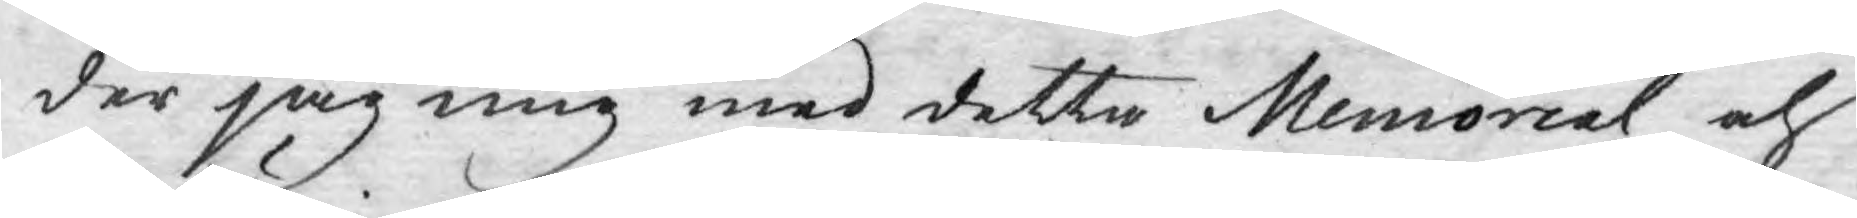der jag mig med detta Memorial och
